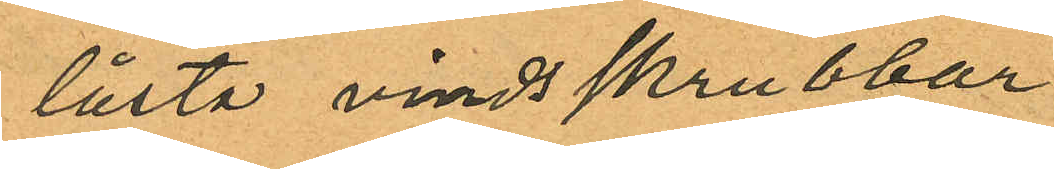låsta vindsskrubbar
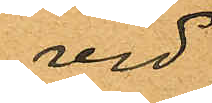vid
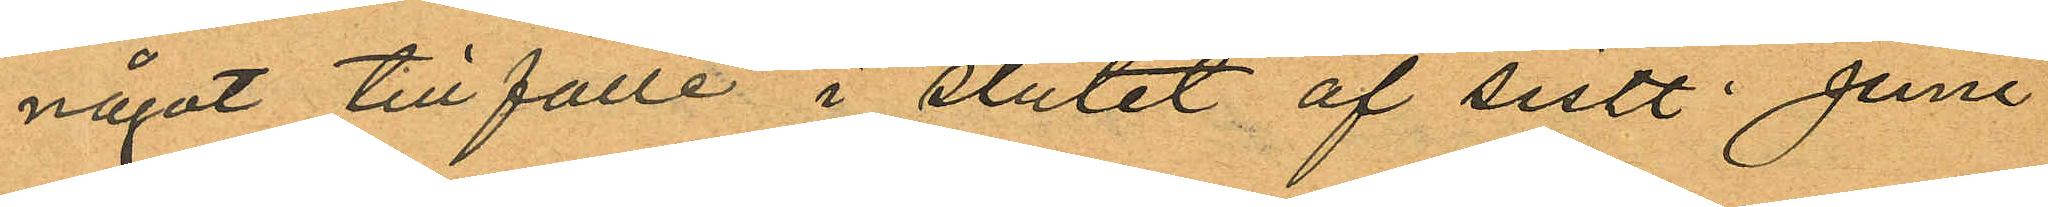något tillfälle i slutet af sistl. Juni
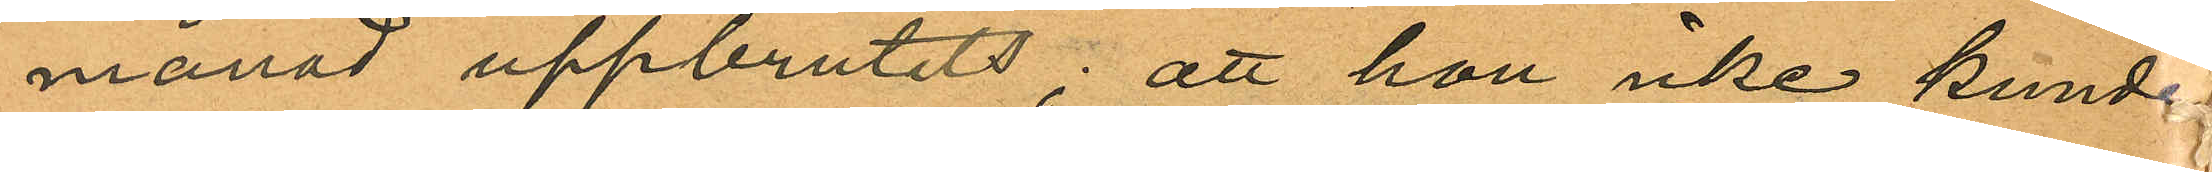månad uppbrutits; att hon icke kunde
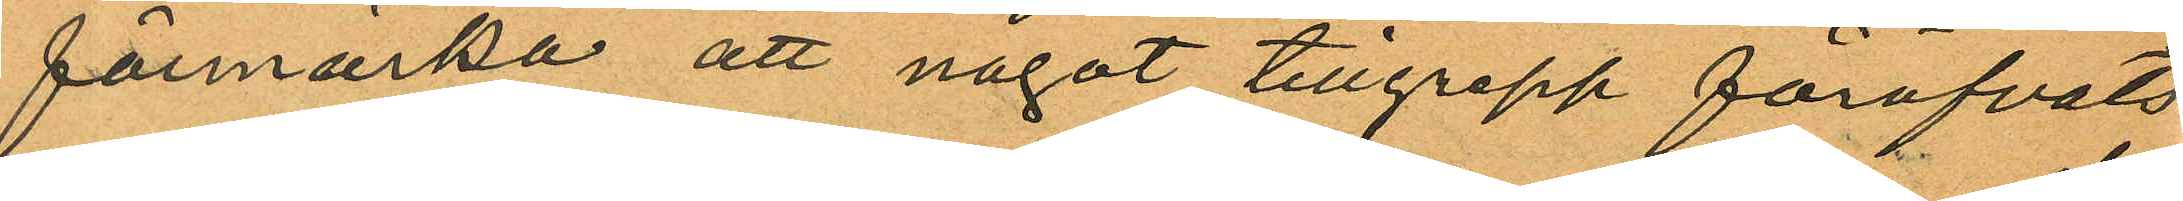förmärka att något tillgrepp föröfvats
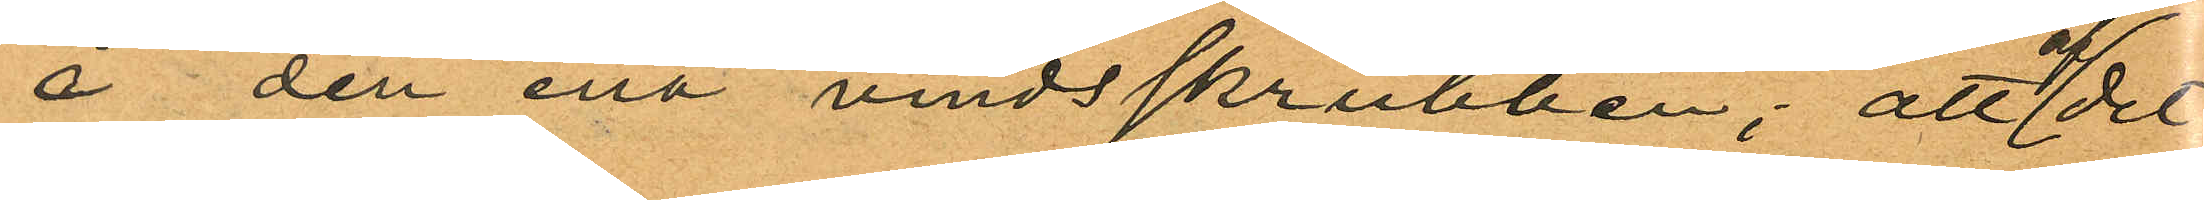å den ena vindsskrubben; att af det
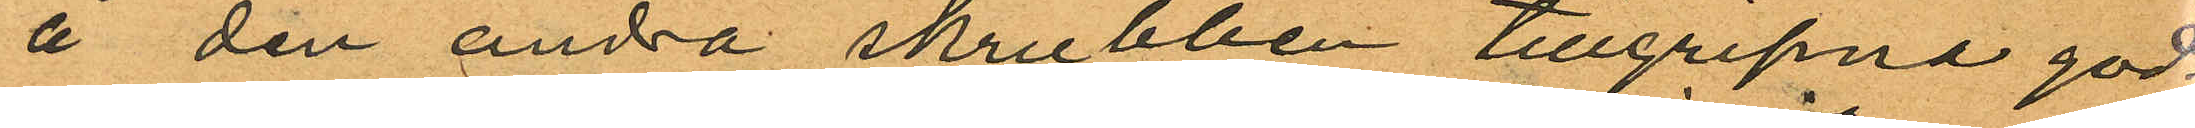å den andra skrubben tillgripne god¬
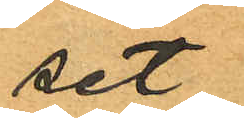set
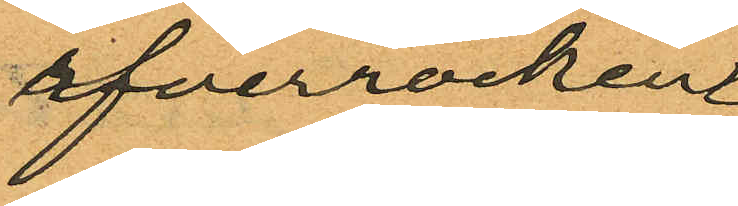öfverrocken
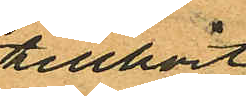tillhört
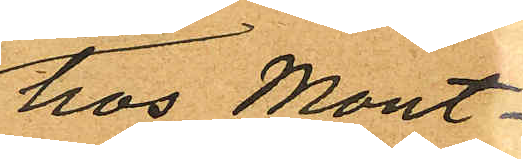hos Mont¬
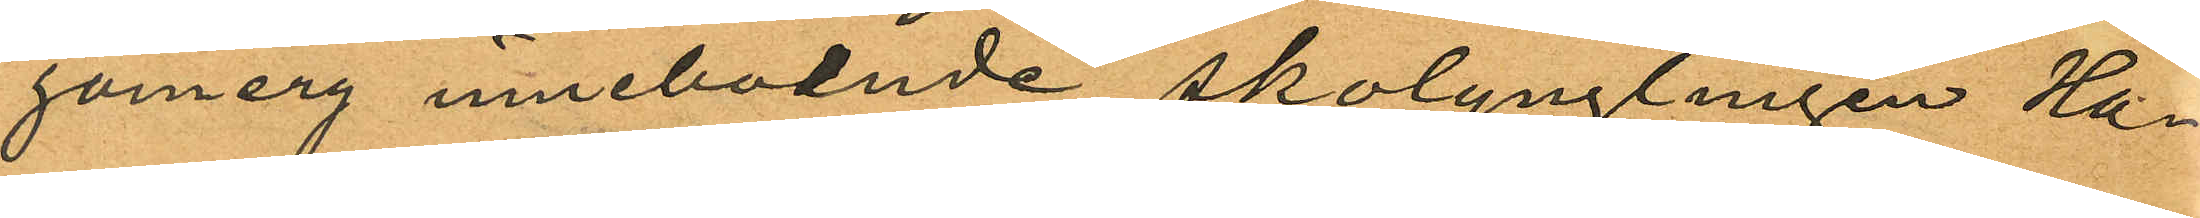gomery inneboende skolynglingen Ha¬
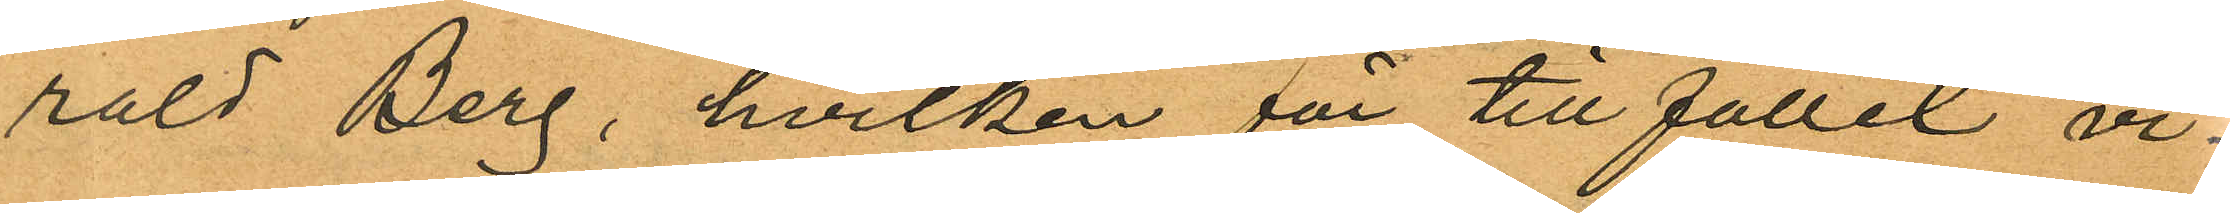rald Berg, hvilken för tillfället vi¬
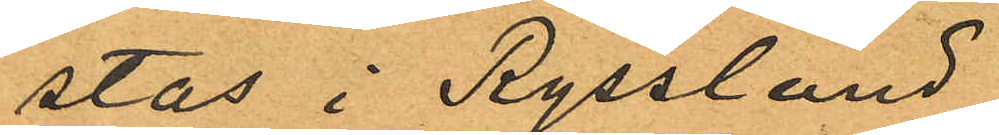stas i Ryssland
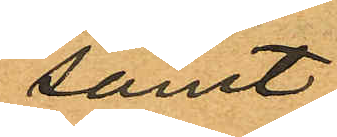samt
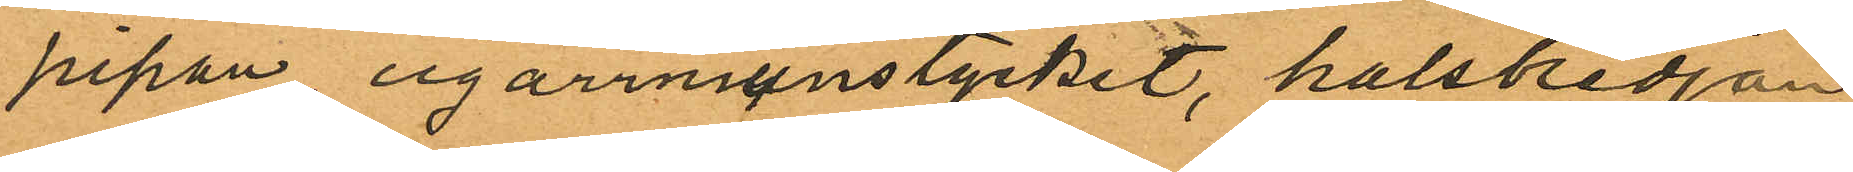pipan, cigarrmunstycket, halskedjan
